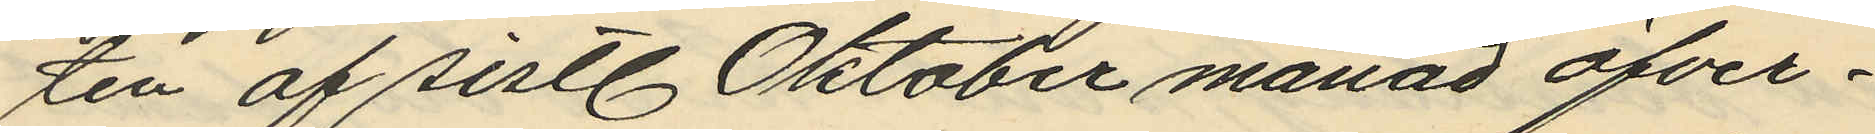ten af sistl Oktober månad öfver¬
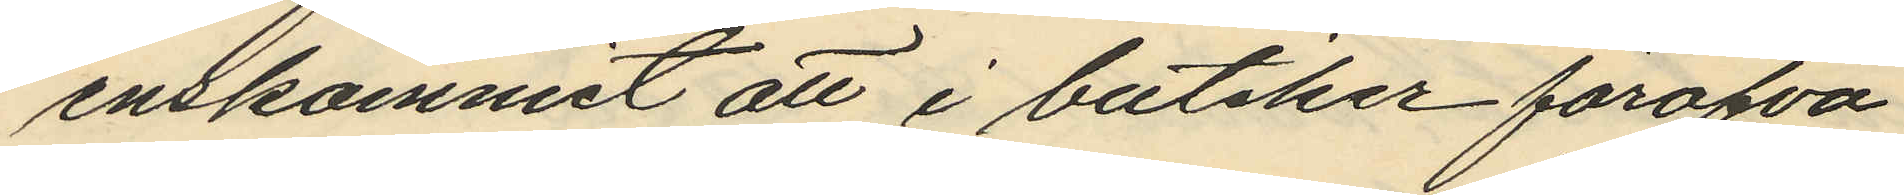enskommit att i butiker föröfva
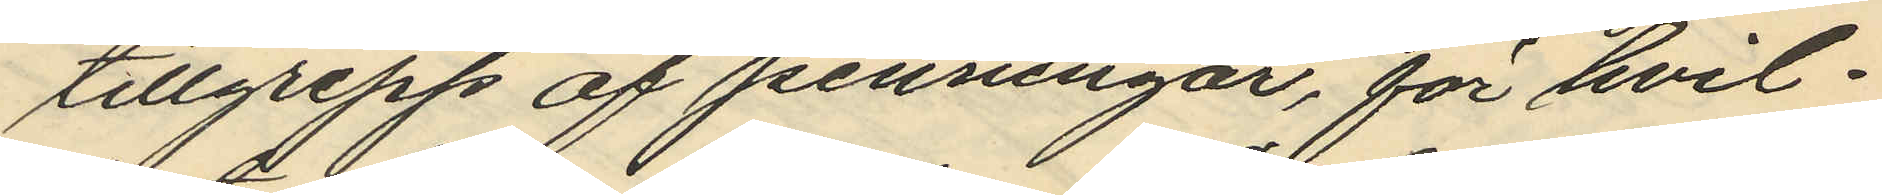tillgrepp af penningar, för hvil¬
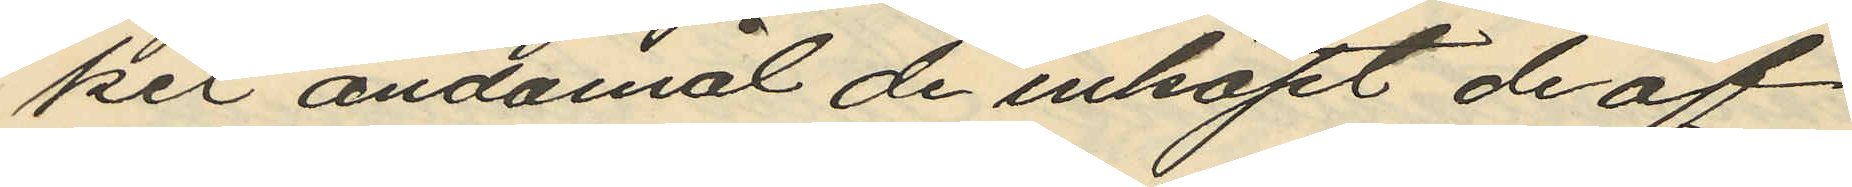ket ändamål de inköpt de af
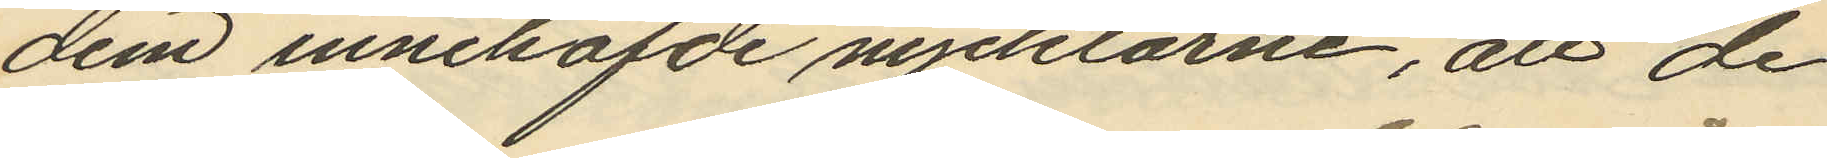dem innehafde nycklarne, att de
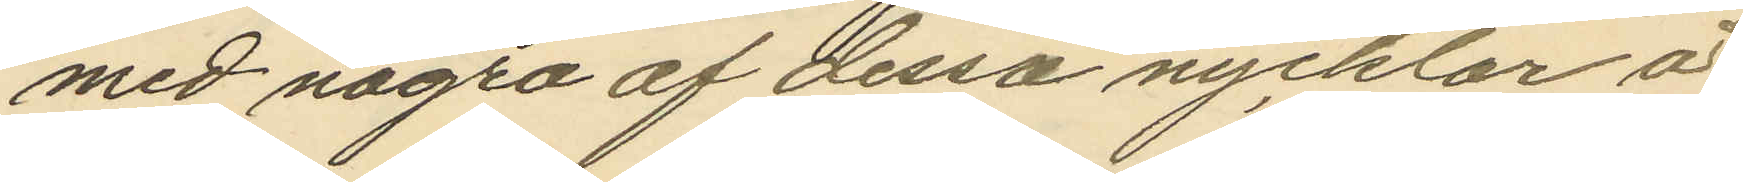med några af dessa nycklar å
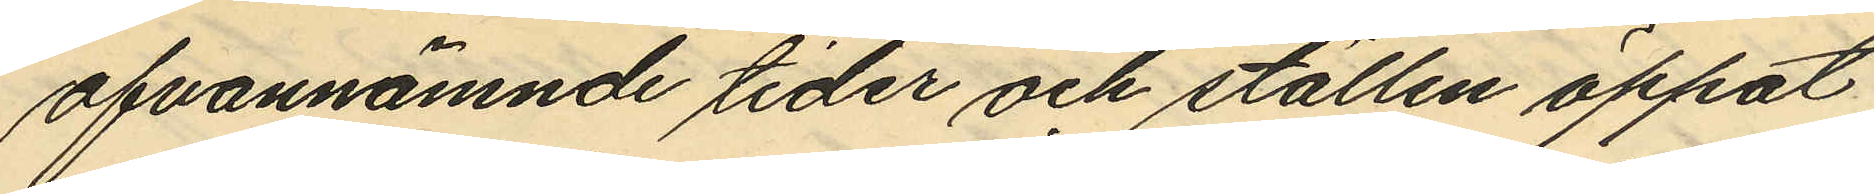ofvannämnde tider och ställen öppat
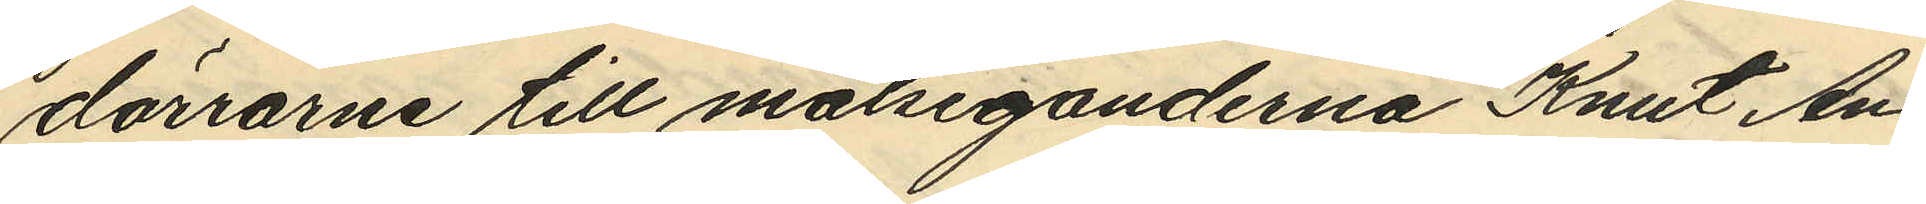dörrarne till målseganderna Knut An¬
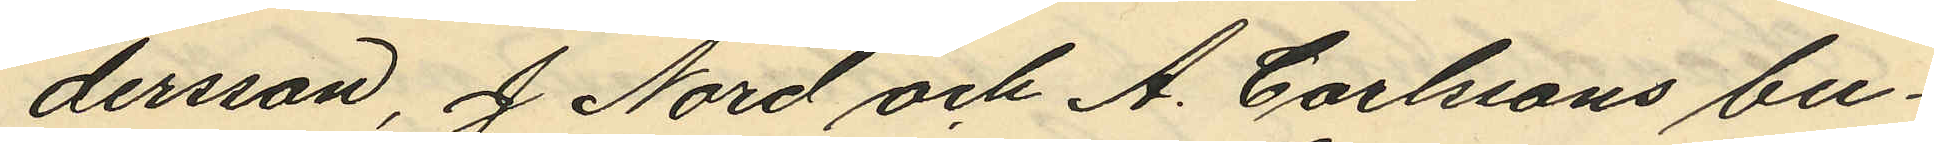dersson, J Nord och A. Carlssons bu¬
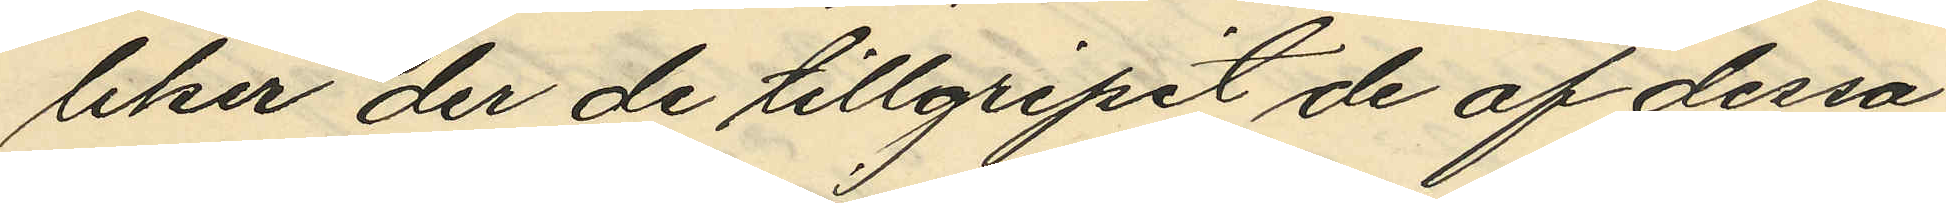liker der de tillgripit de af dessa
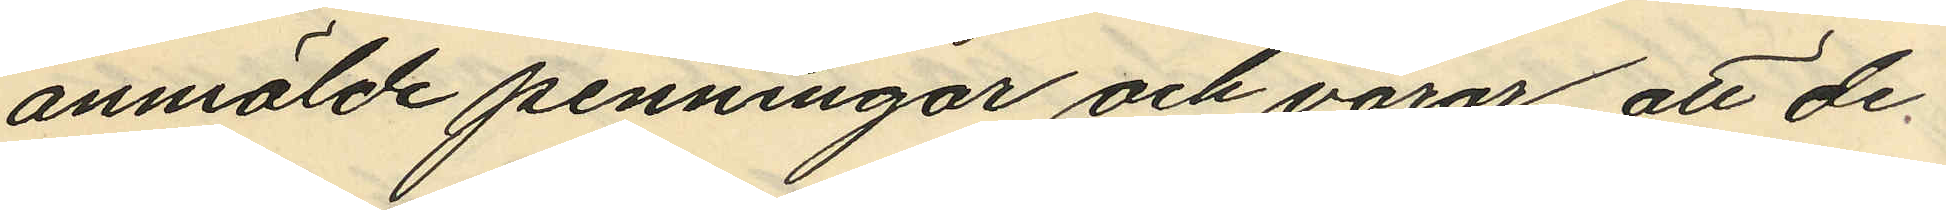anmälde penningar och varor, att de
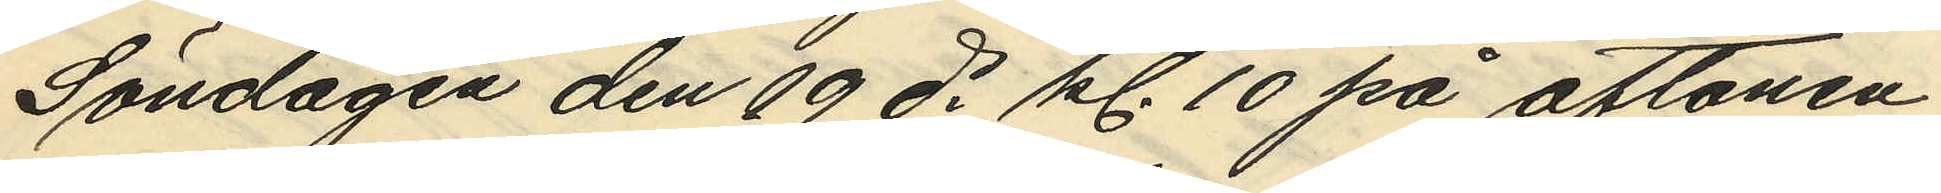Söndagen den 19 ds kl. 10 på aftonen
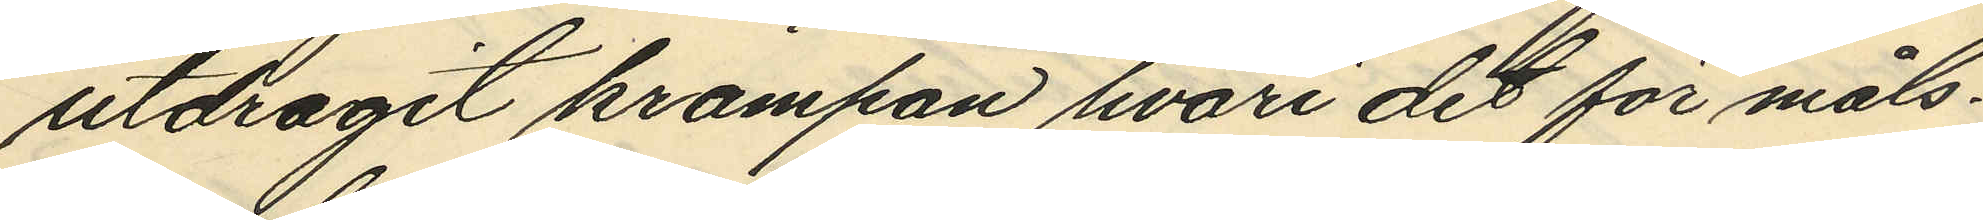utdragit krampan hvari det för måls¬
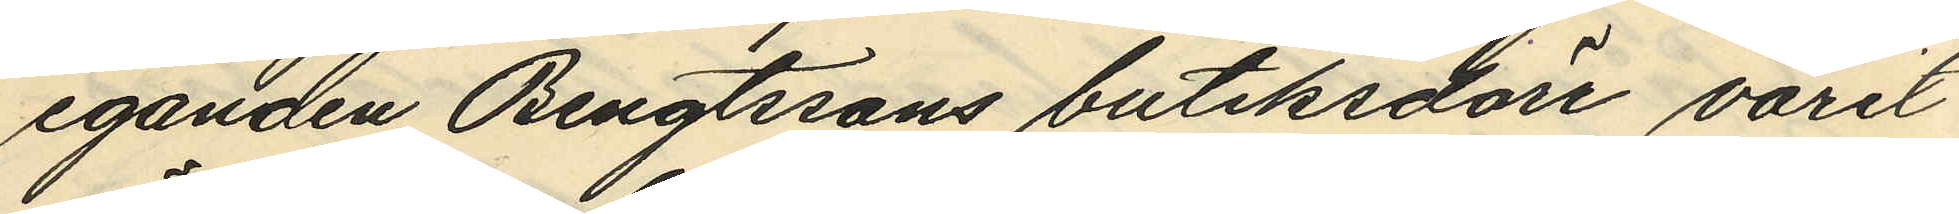eganden Bengtssons butiksdörr varit
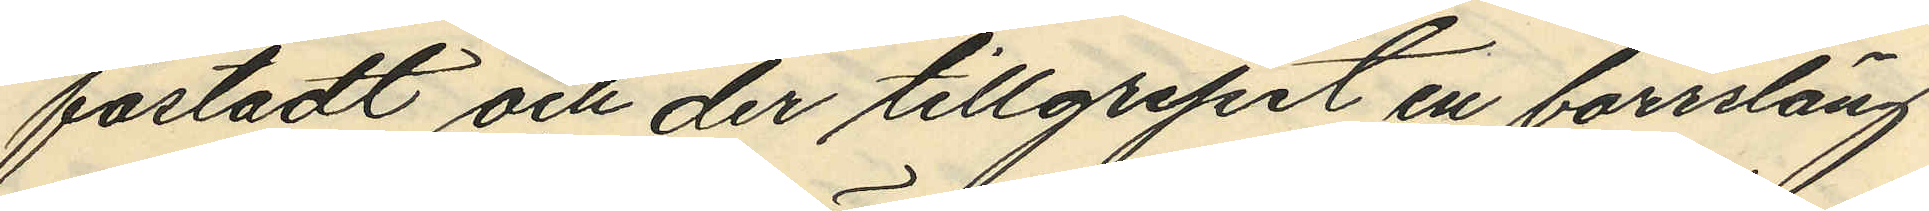fästadt och der tillgripit en borrsläng
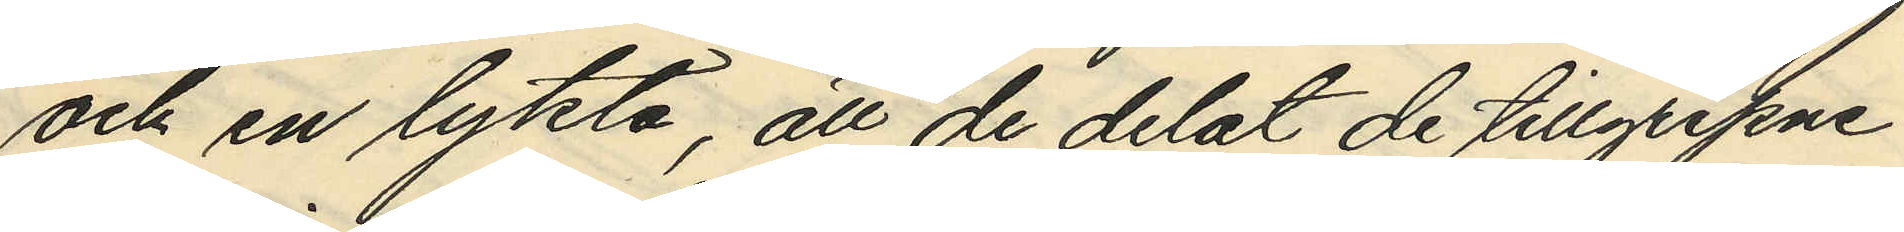och en lykta, att de delat de tillgripne
